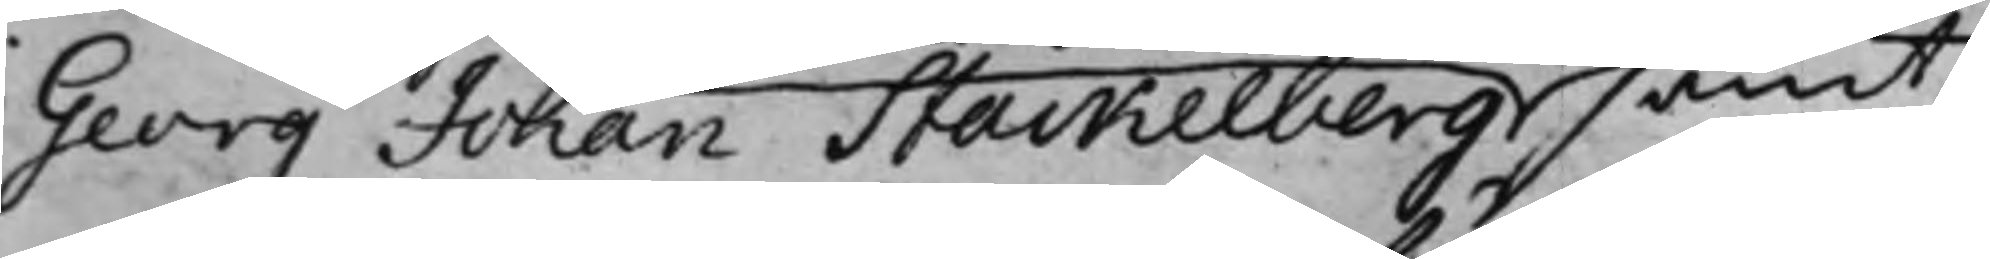Georg Johan Stackelberg samt
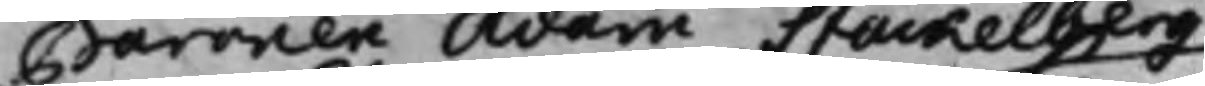Baronen Adam Stackelberg
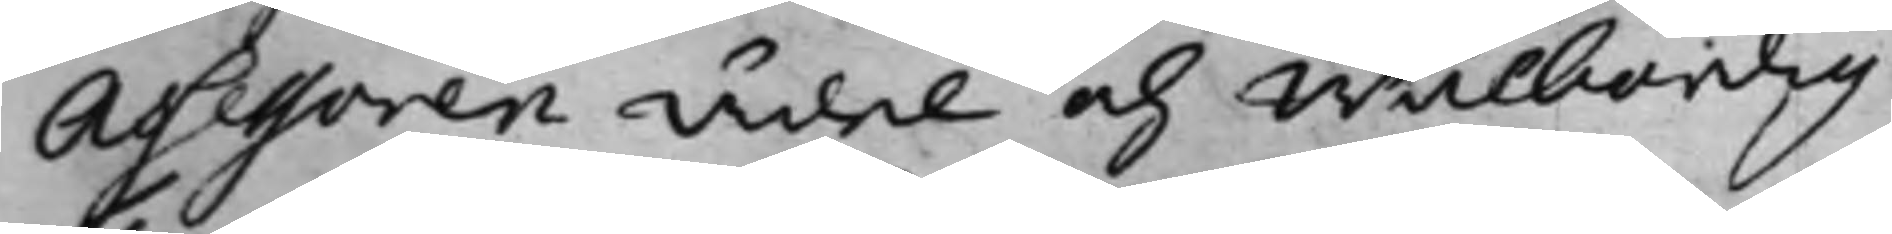Assessoren Ädel och Wälbördig
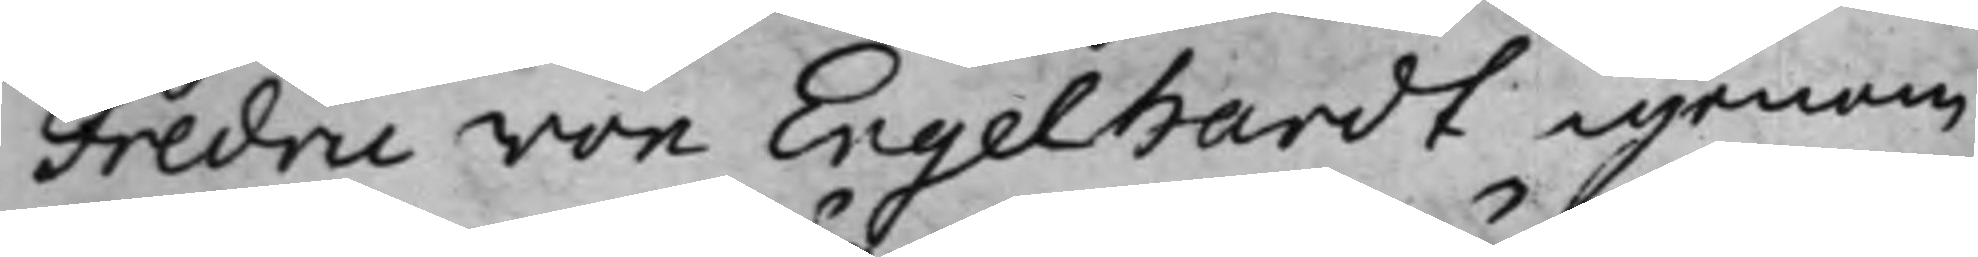Fredric von Engelhardt igenom
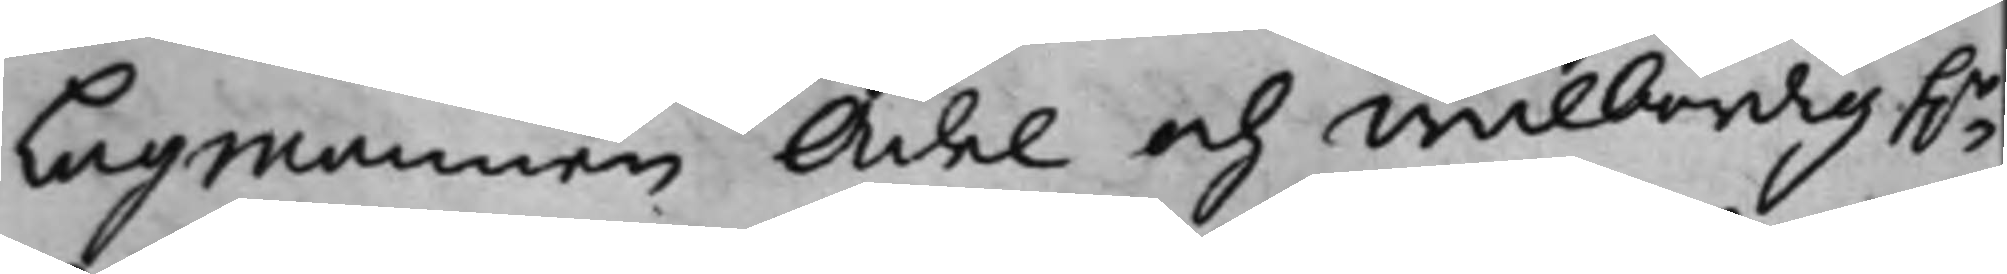Lagmannen Ädel och wälbördig h.r
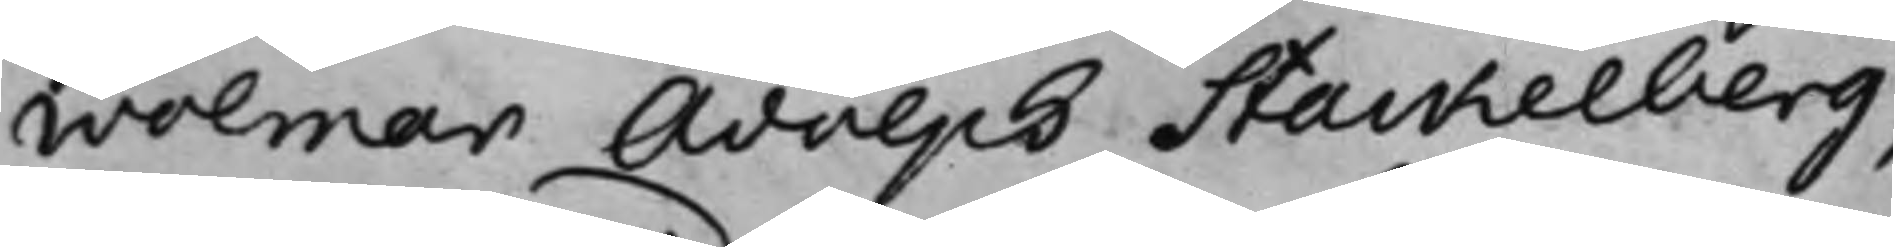Wolmar Adolph Stackelberg,
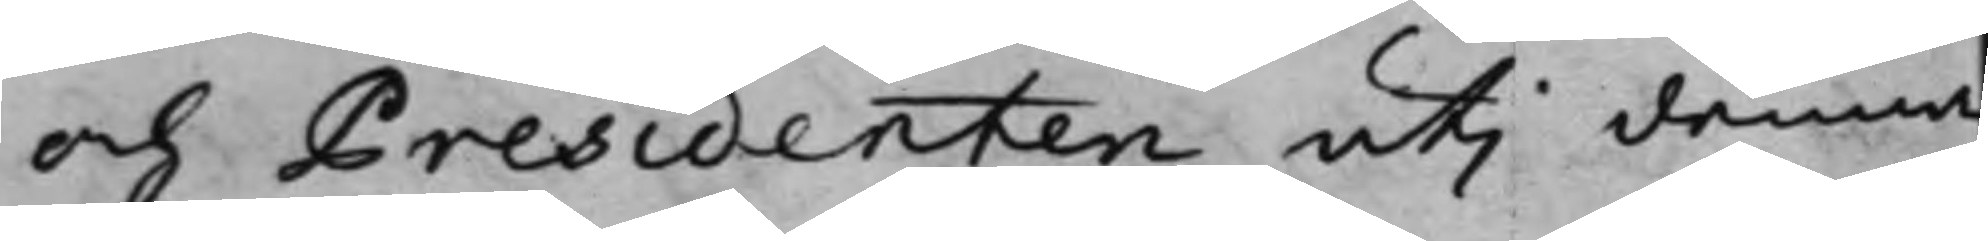och Presidenten uti denna
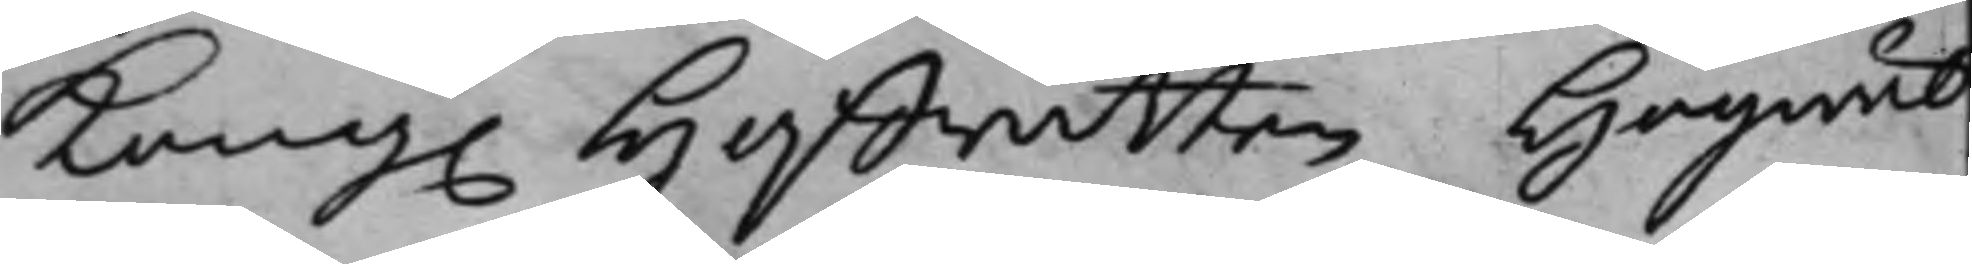Kong. Hoffrätten Högwäl¬
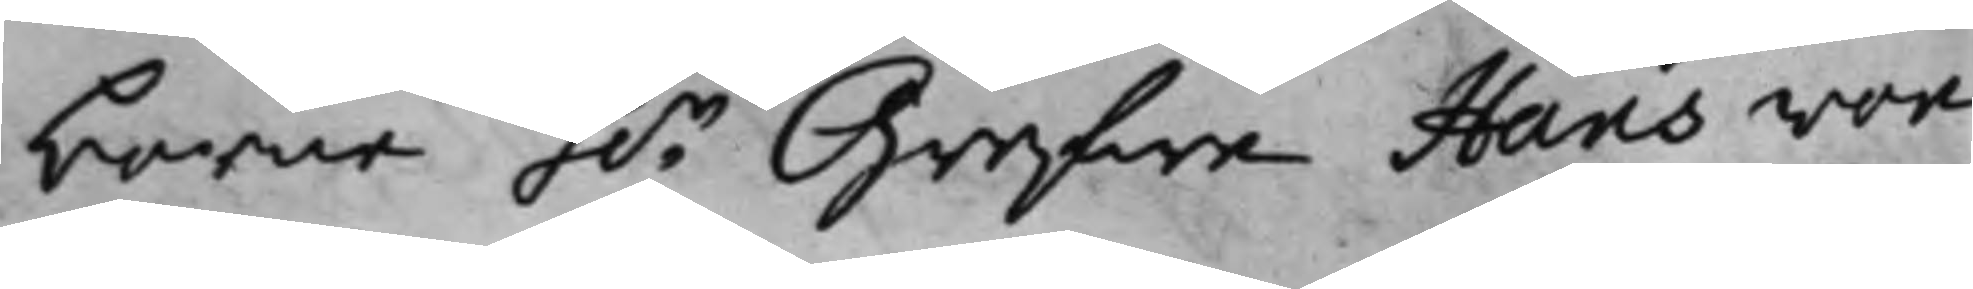borne h.r Grefwe Hans von
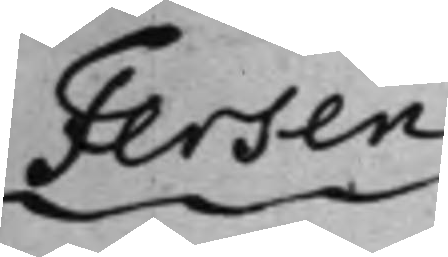Fersen
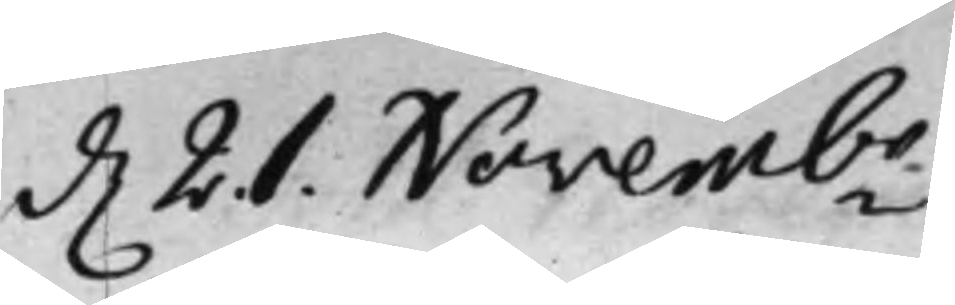d. 21. Novembr
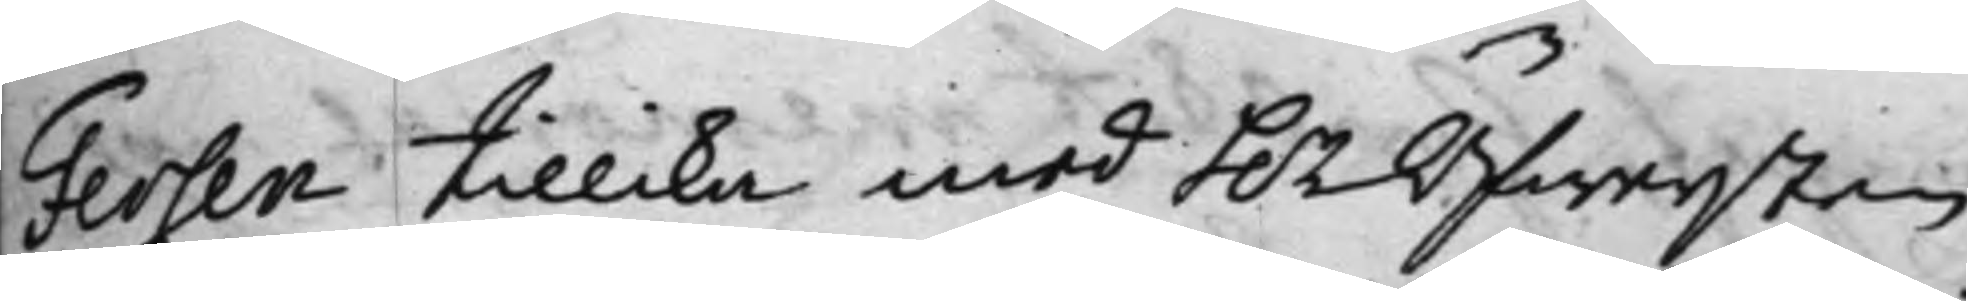Fersen tillika med h.r Öfwersten
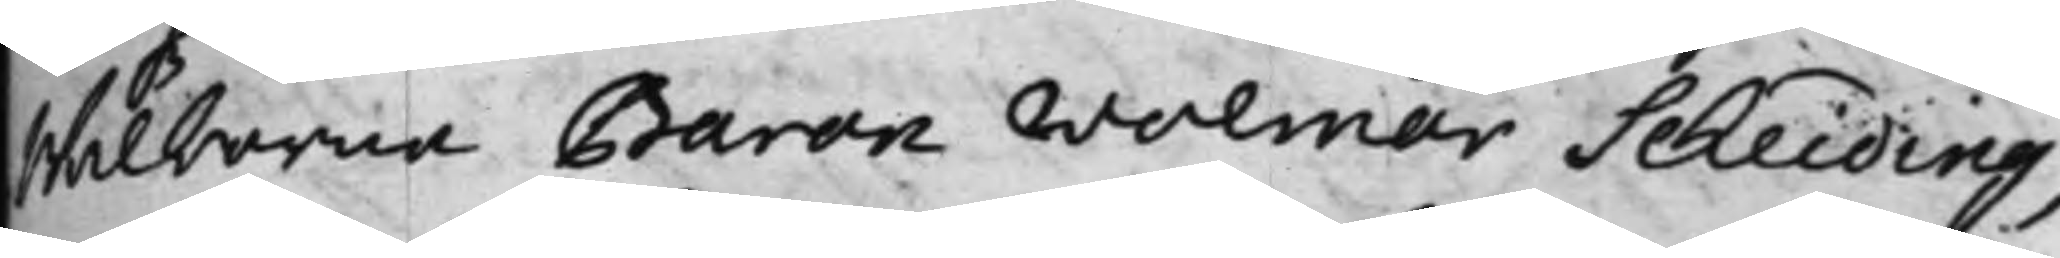Wälborne Baron Wolmar Scheiding,
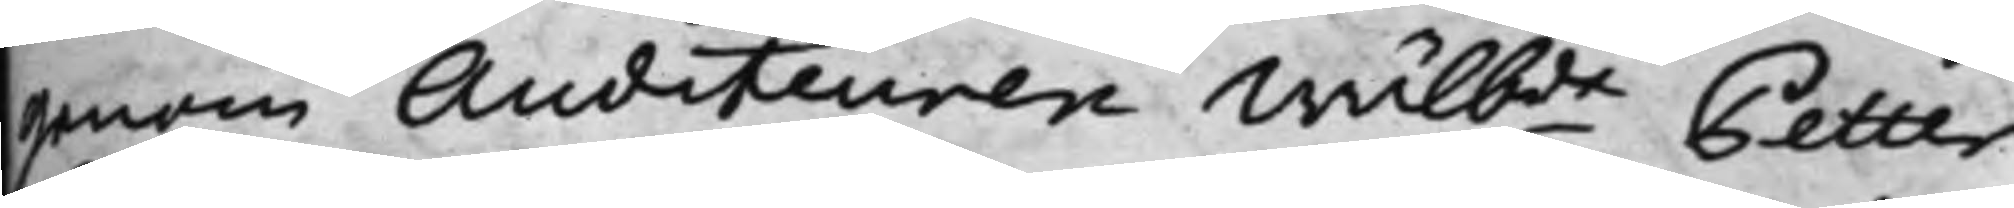genom Auditeuren Wälbde Petter
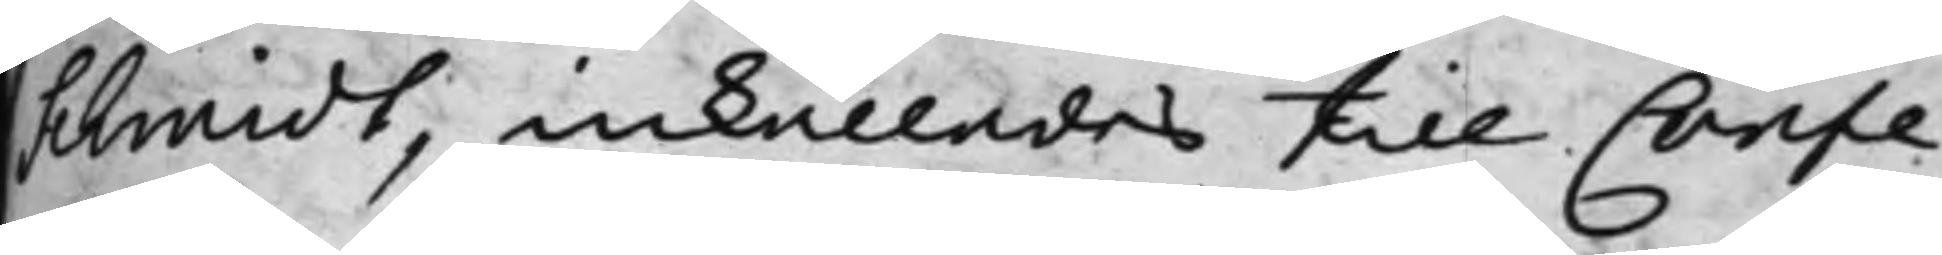Schmidt, inkallades till Confe¬
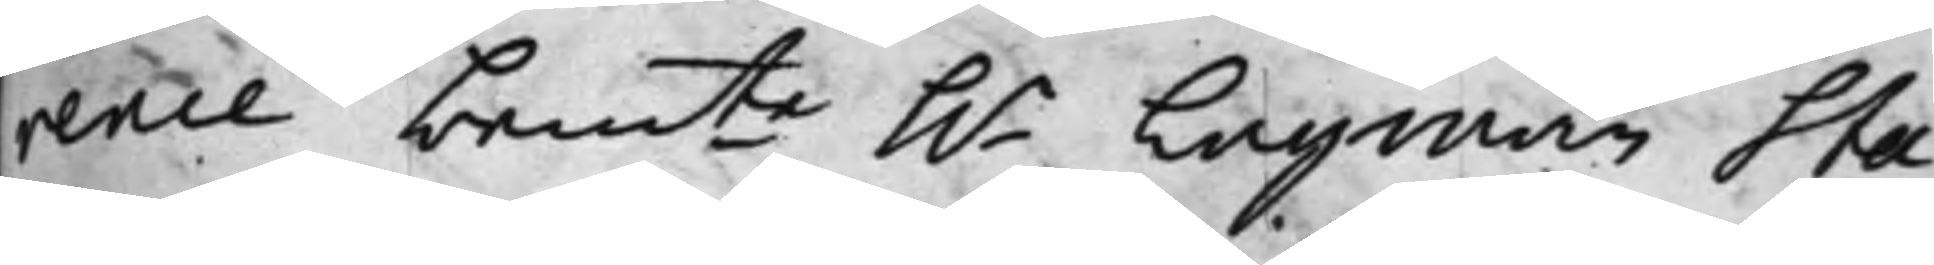rence bemte h.r Lagman Sta¬
